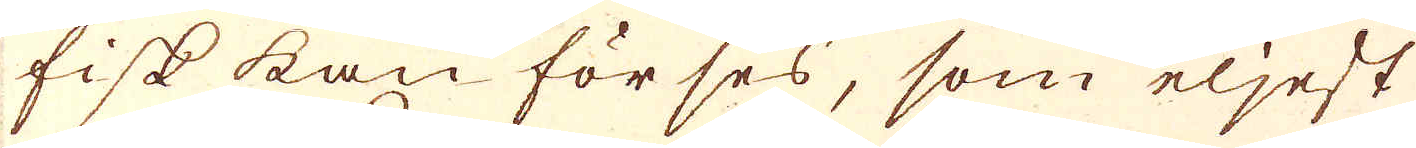fisk kan förses, som eljest
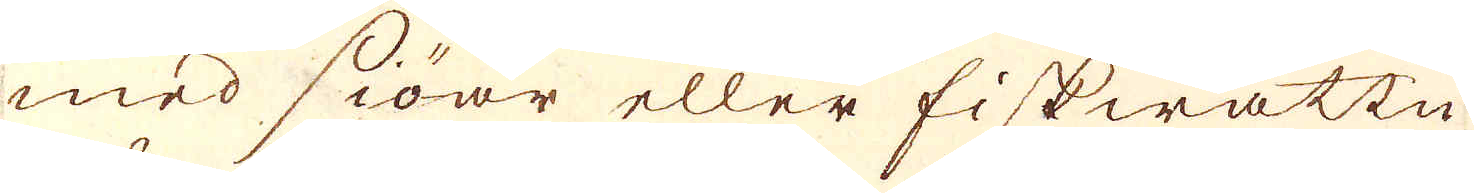med siöar eller fiskwatten
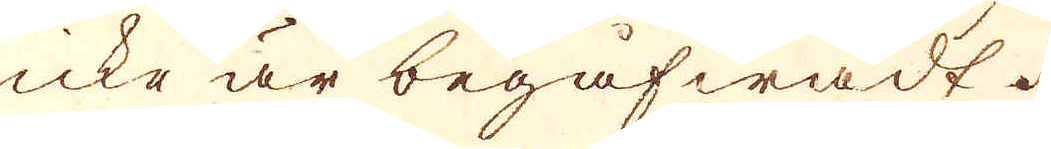icke är begåfwadt.
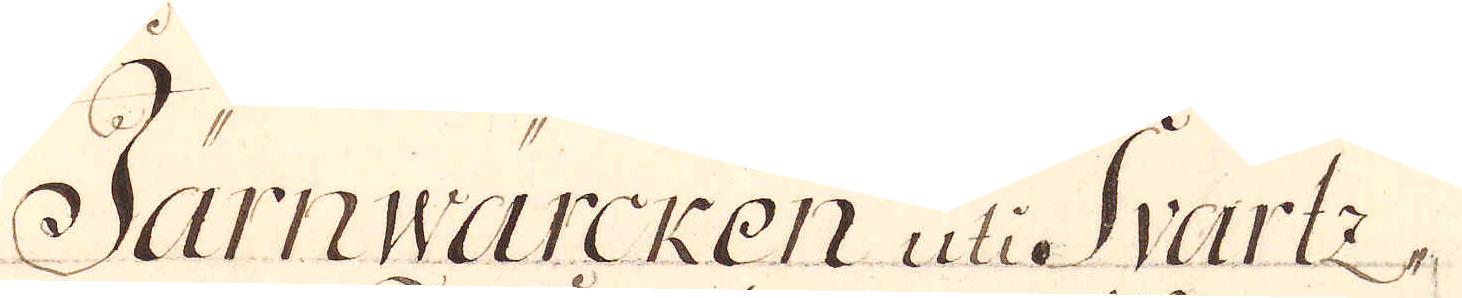Järnwärcken uti Svartz-
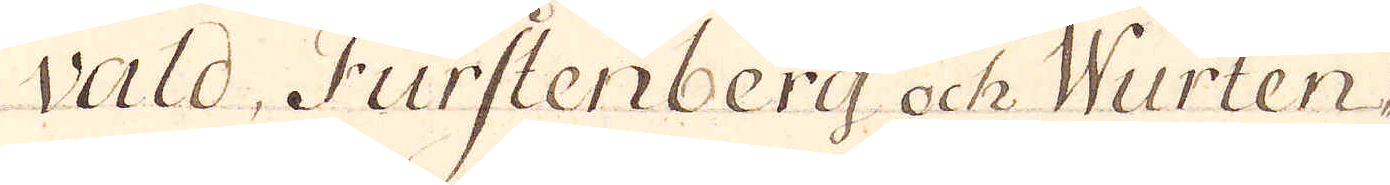vald, Furstenberg och Wurten-
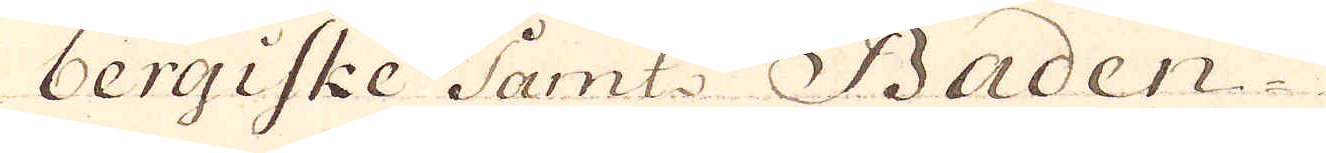bergiske Samt: Baden-
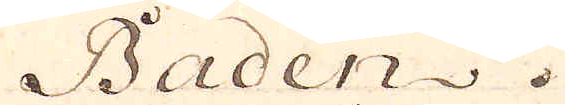Baden.
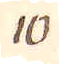10
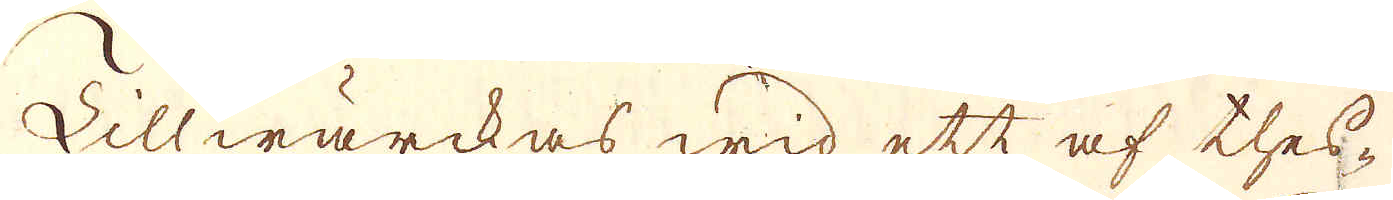Tillwärckas wid ett af thes-
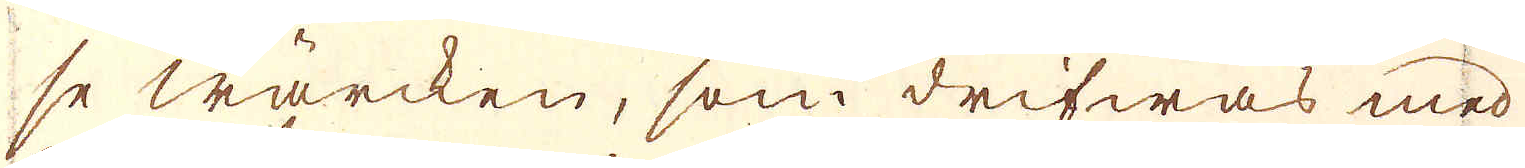se wärcken, som drifwas med
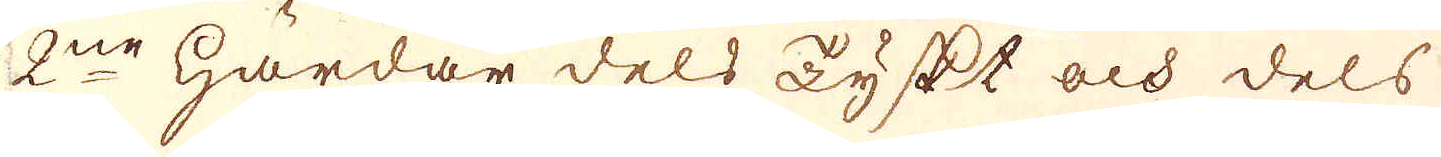2:ne härdar dels Tyskt och dels
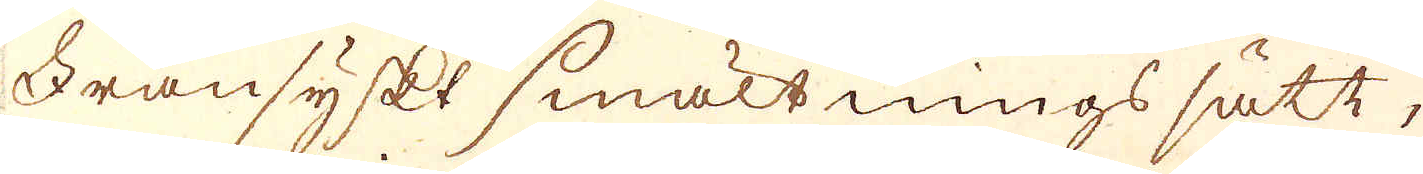Fransyskt smältnings sätt,
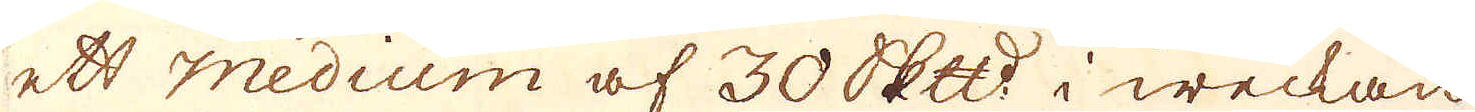ett Medium af 30 Skepppund i weckan
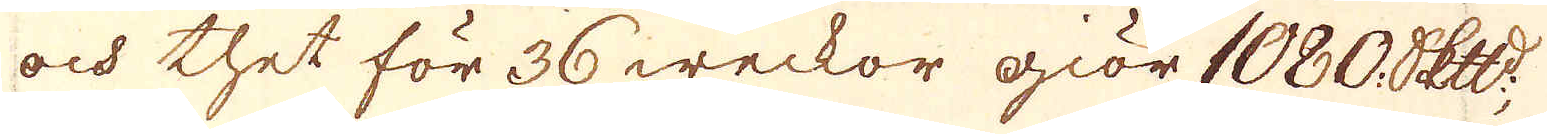och thet för 36 weckor giör 1080 Skepppund
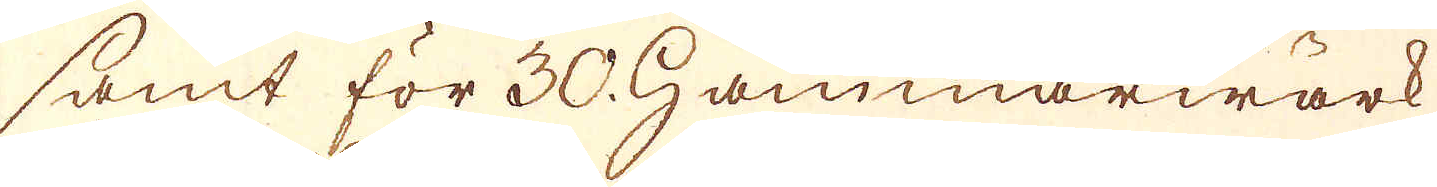samt för 30. Hammarwärk
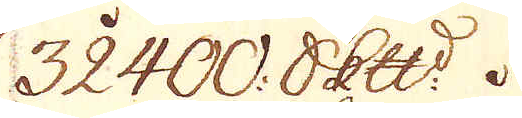32400 Skepppund
